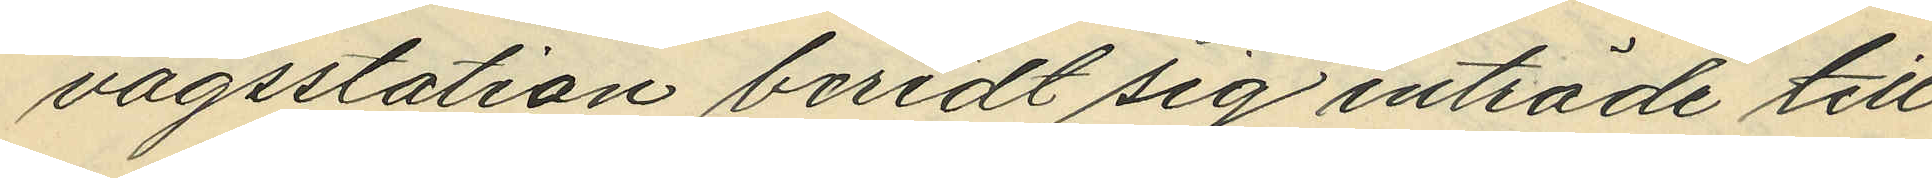vägsstation beredt sig inträde till
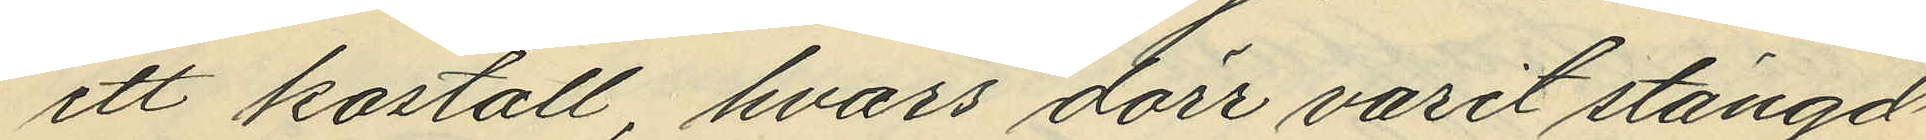ett kostall, hvars dörr varit stängd
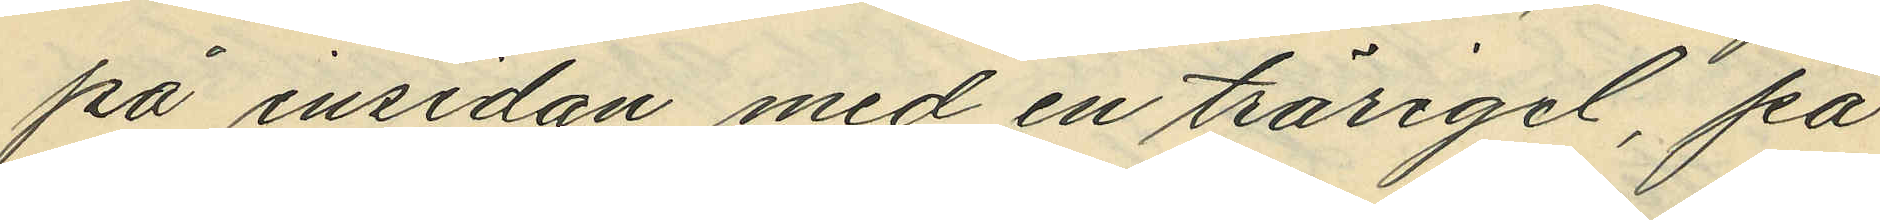på insidan med en trärigel, på
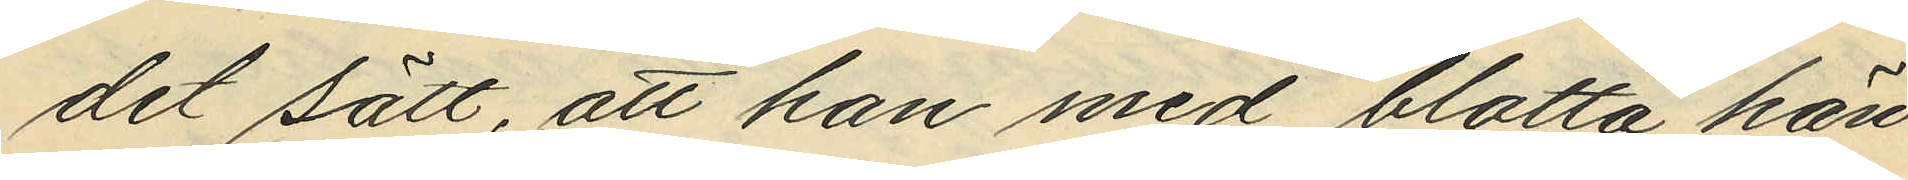det sätt, att han med blotta hän¬
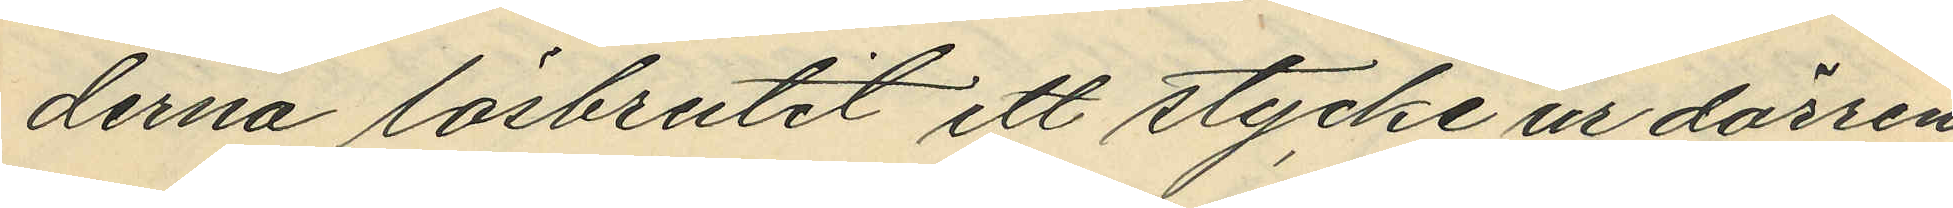derna lösbrutit ett stycke ur dörren
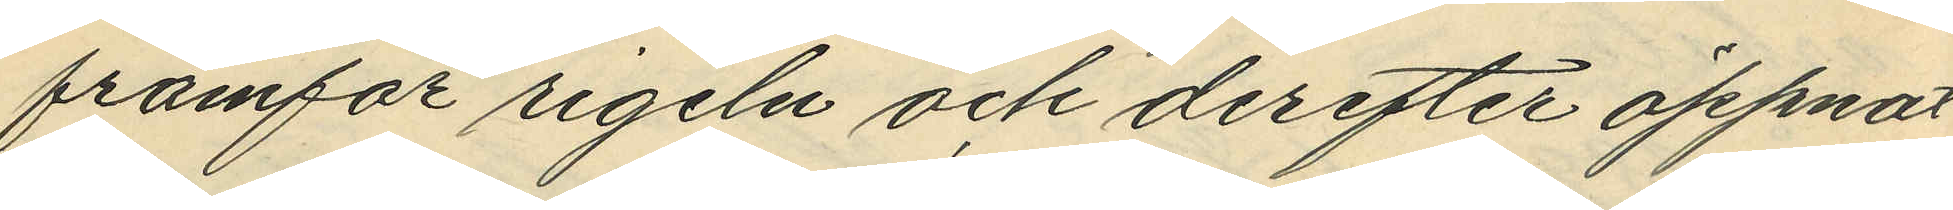framför rigeln och derefter öppnat
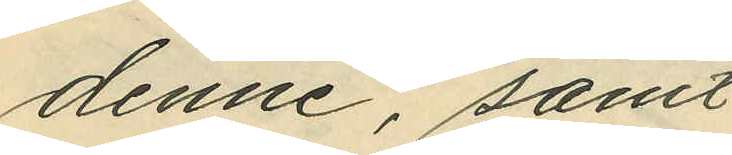denne, samt
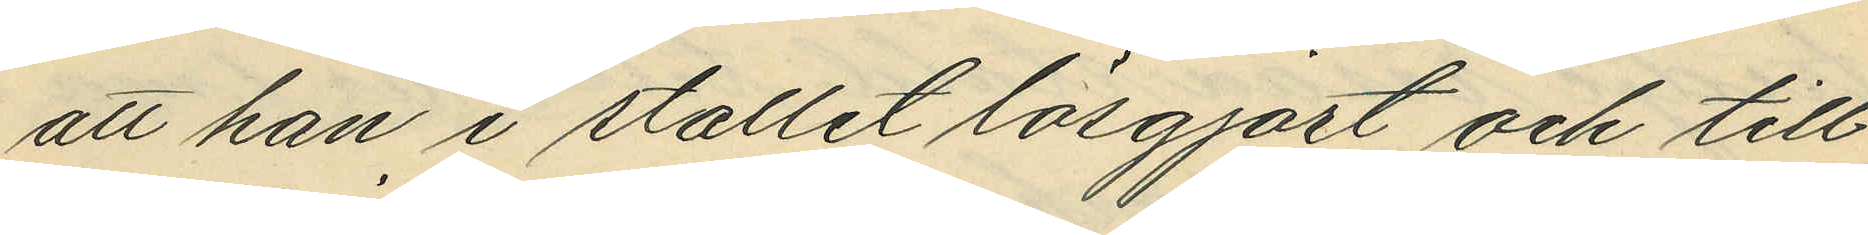att han i stallet lösgjort och till¬
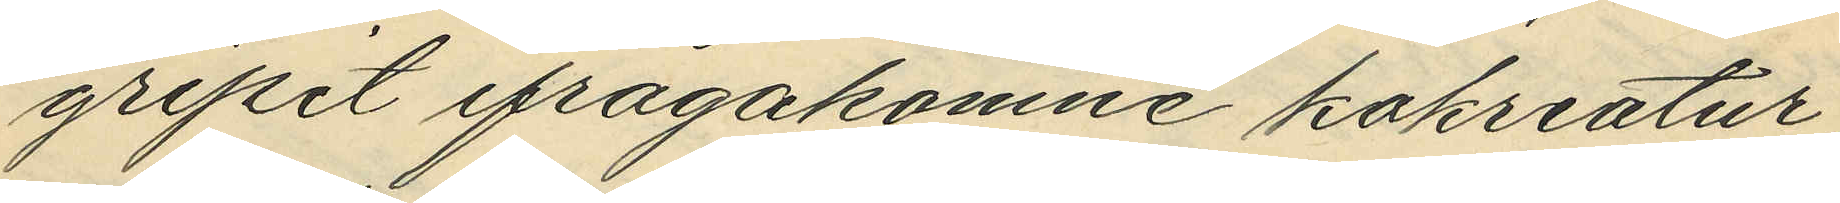gripit ifrågakomne kokreatur,
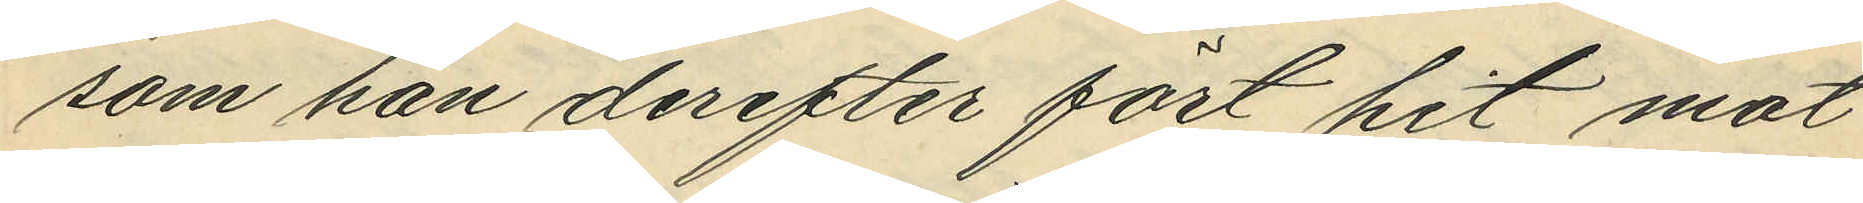som han derefter fört hit mot
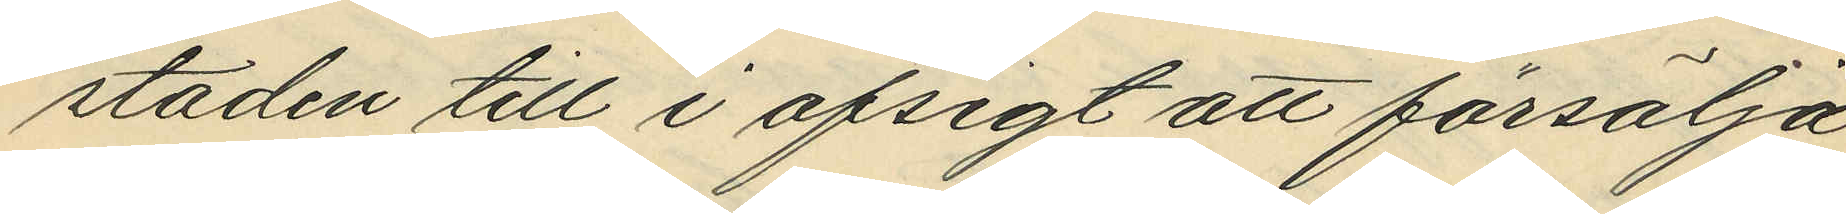staden till i afsigt att försälja
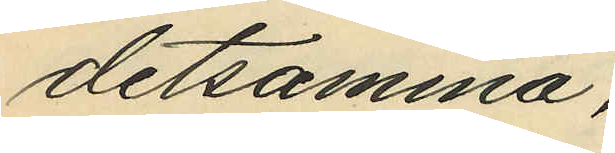detsamma.
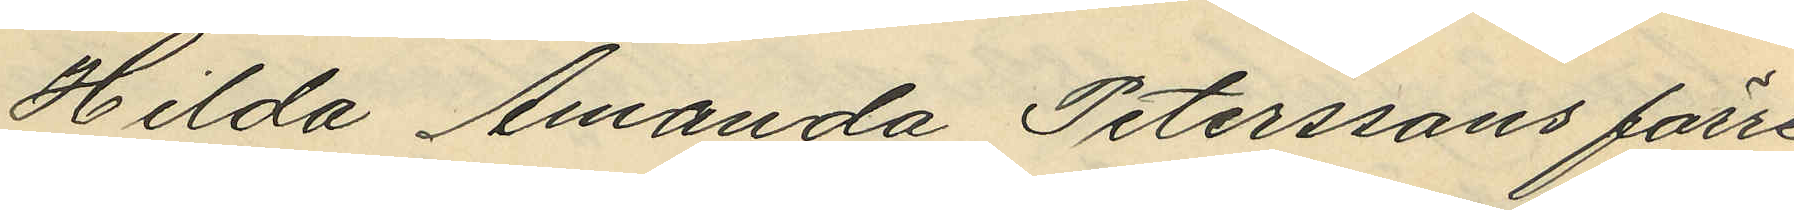Hilda Amanda Peterssons förre
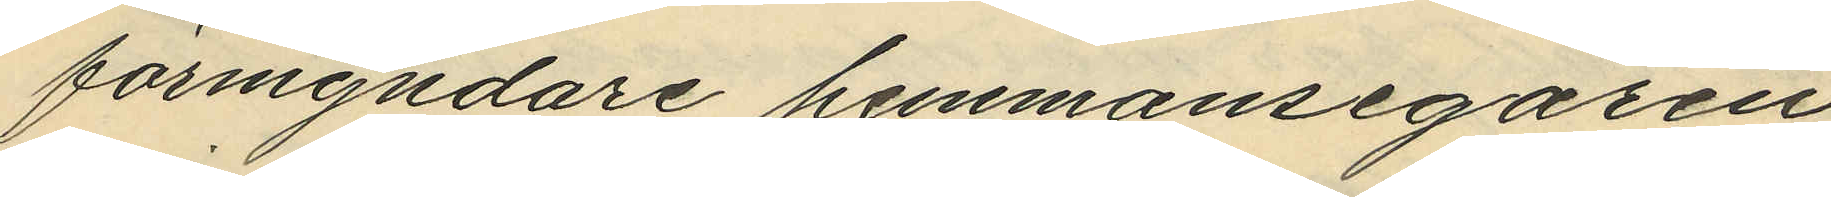förmyndare hemmansegaren
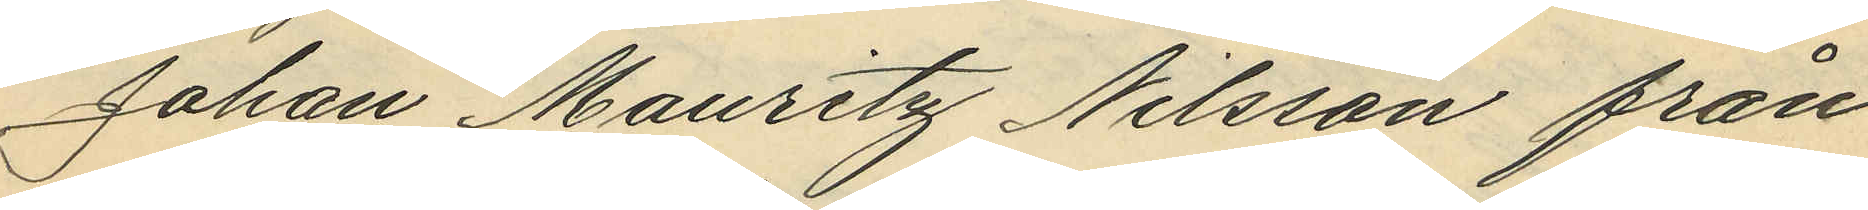Johan Mauritz Nilsson från
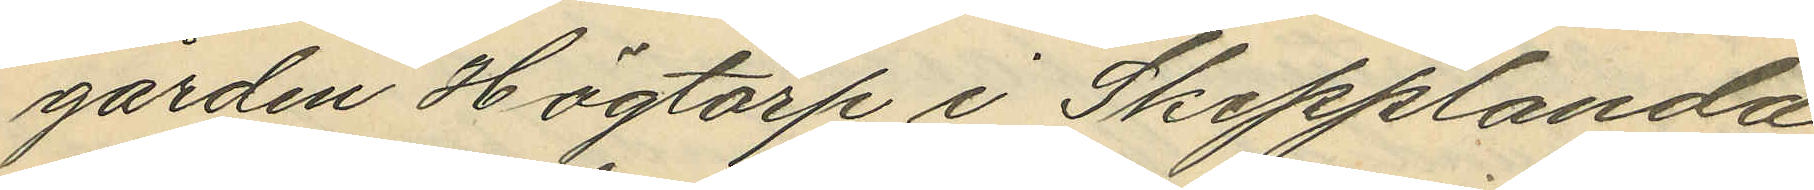gården Högtorp i Skepplanda
